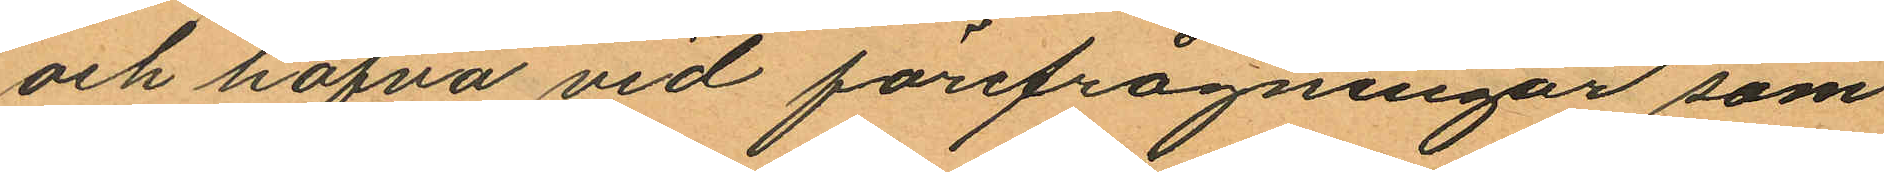och hafva vid förefrågningar som
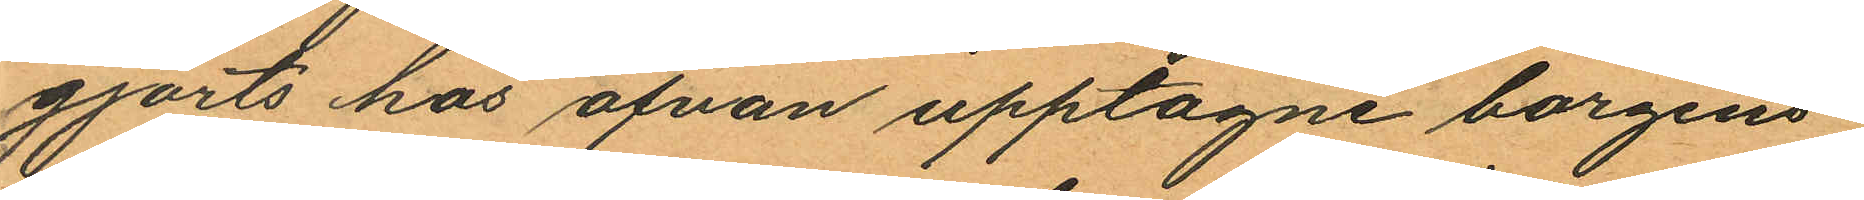gjorts hos ofvan upptagne borgens¬
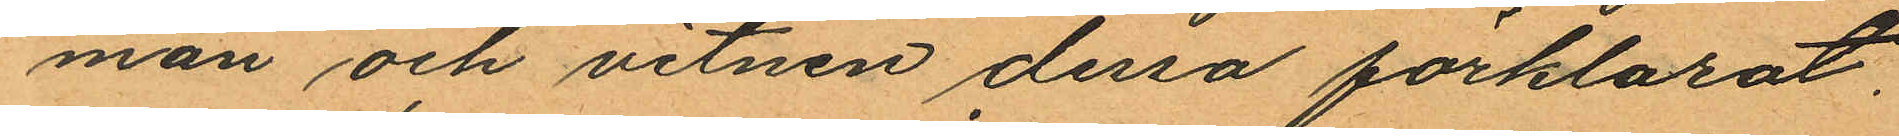män och vitnen dessa förklarat.
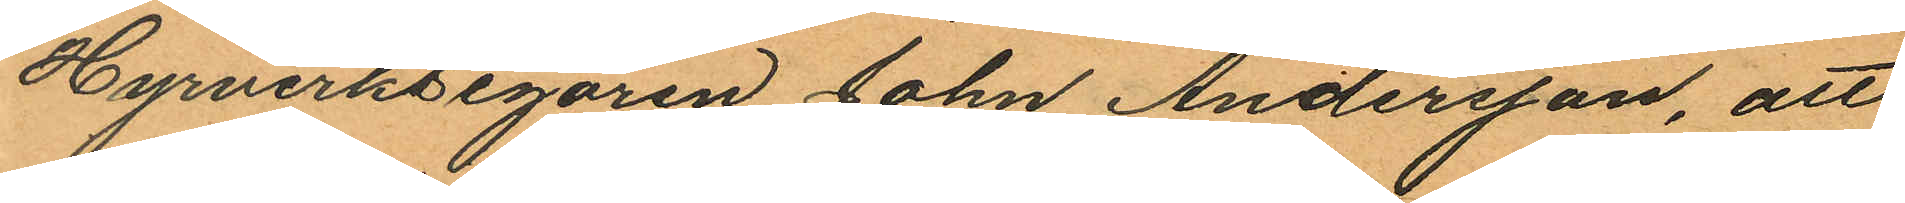Hyrverksegaren John Andersson, att
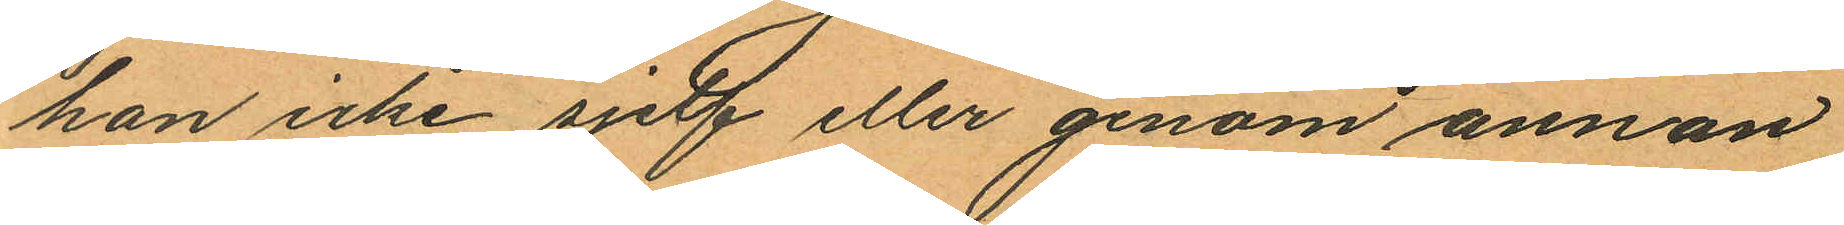han icke sjelf eller genom annan
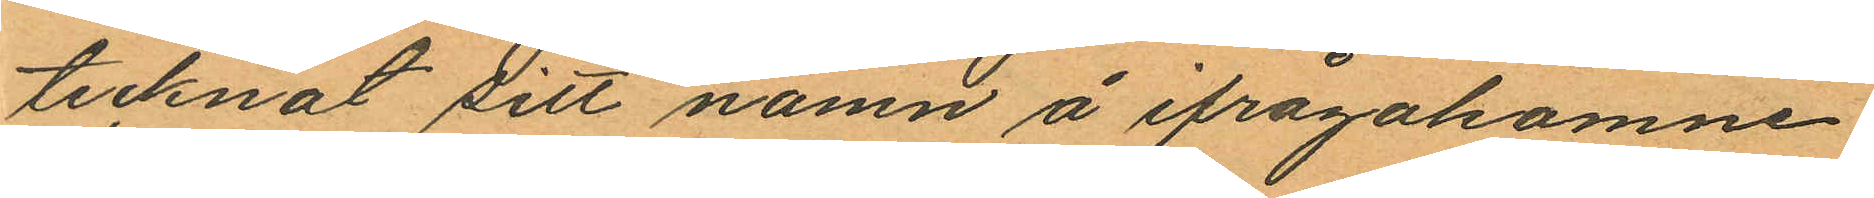tecknat sitt namn å ifrågakomne
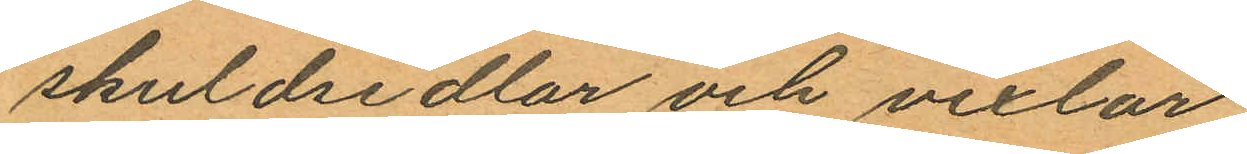skuldsedlar och vexlar.
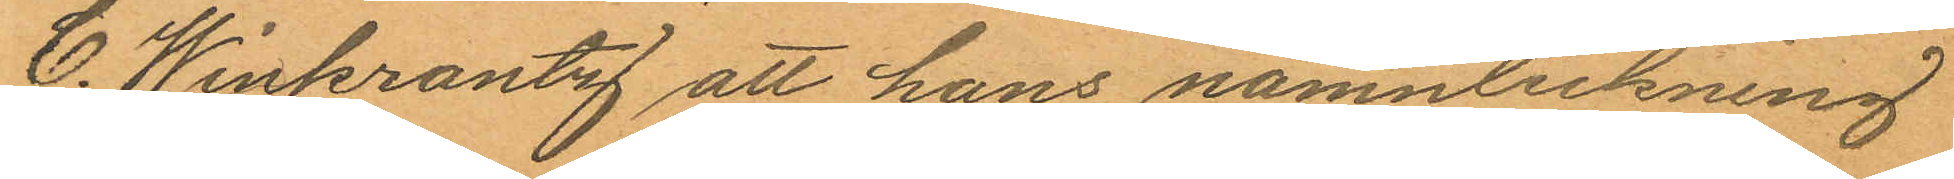C. Winkrantz att hans namnteckning
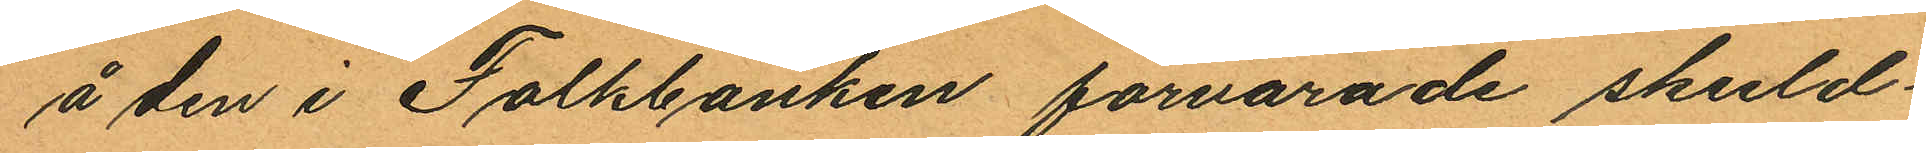å den i Folkbanken förvarade skuld¬
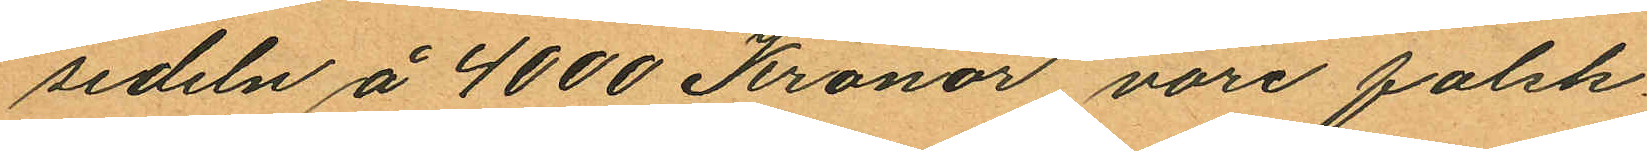sedeln å 4000 Kronor vore falsk.
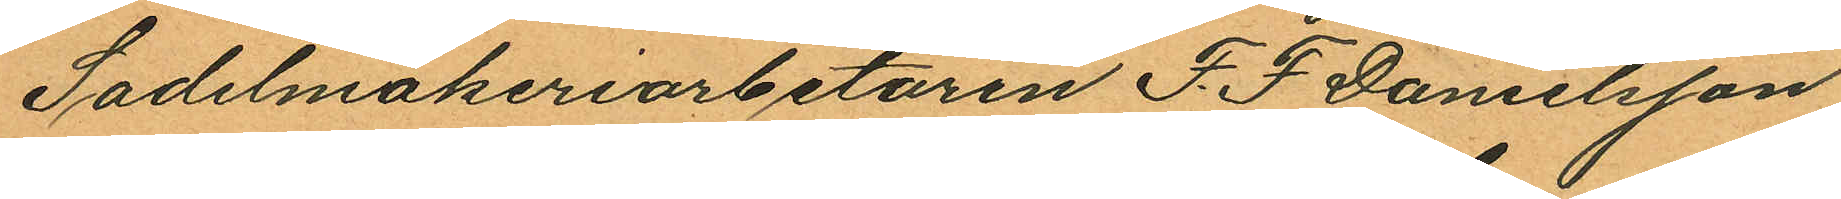Sadelmakeriarbetaren F. F Danelsson
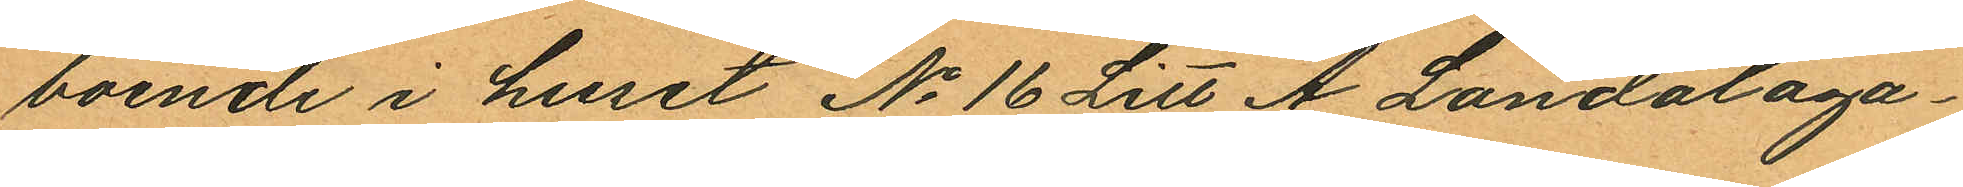boende i huset No 16 Litt A Landalaga¬
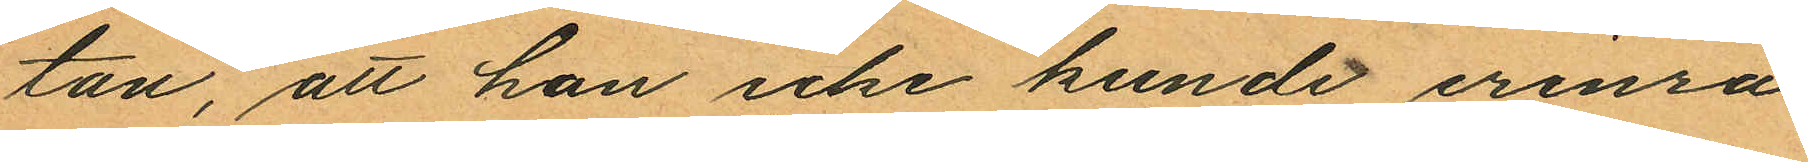tan, att han icke kunde erinra
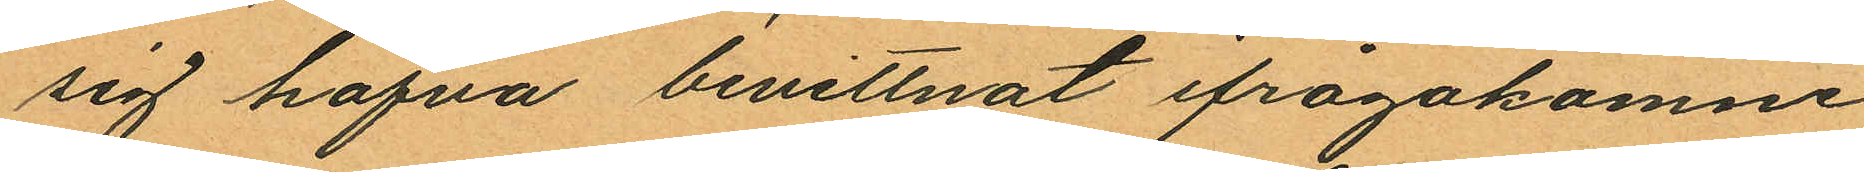sig hafva bevittnat ifrågakomne
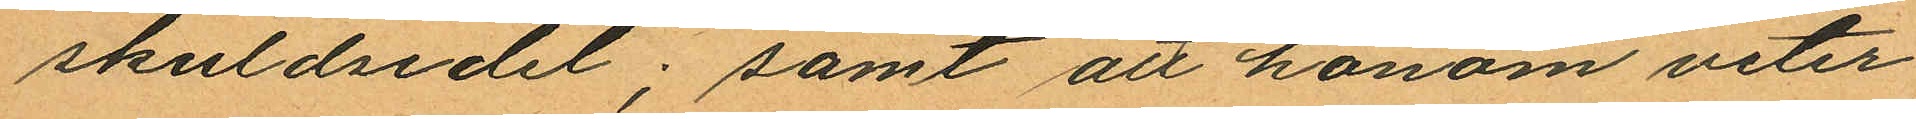skuldsedel; samt att honom veter¬
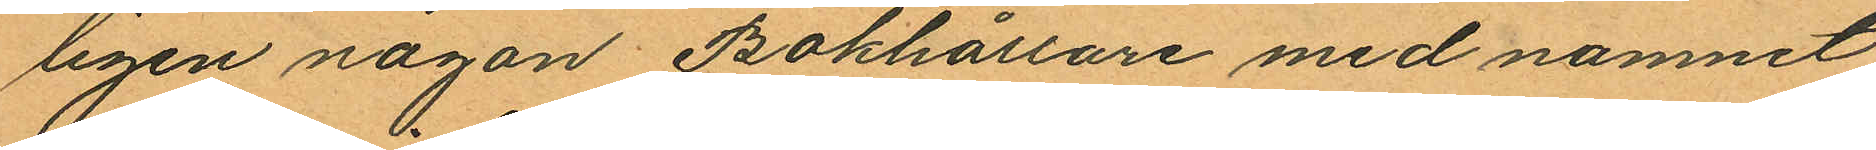ligen någon Bokhållare med namnet
